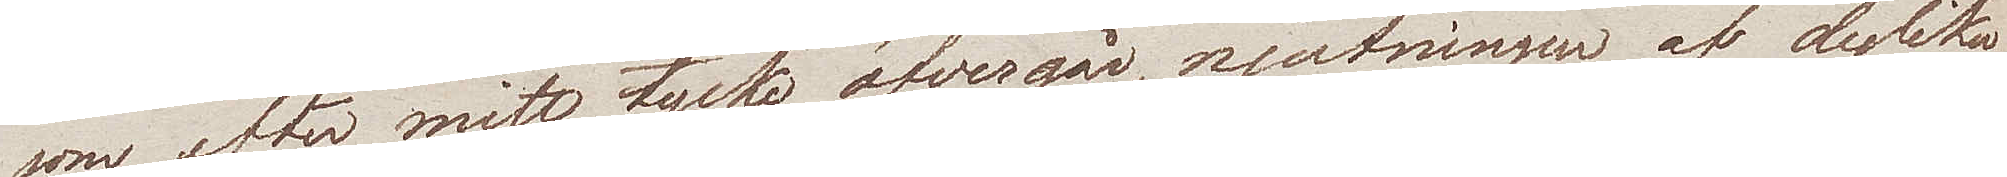som, efter mitt tycke, öfvergår, njutningen af dylika
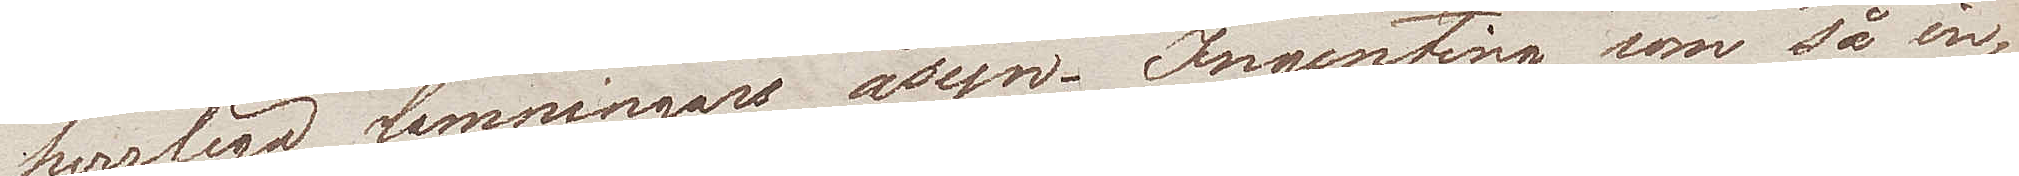herrliga lämningars åsyn. Ingenting som så in¬
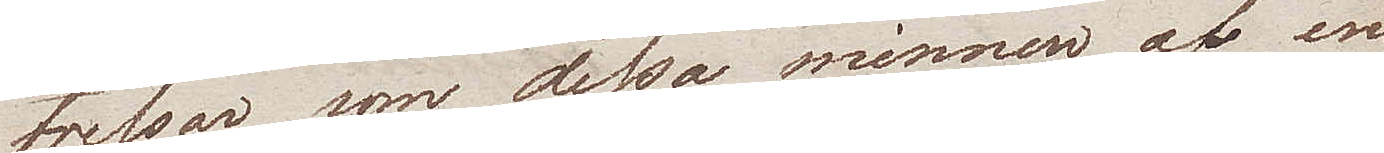tresserar som dessa minnen af en
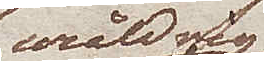uråldrig
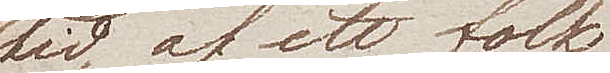tid, af ett folk
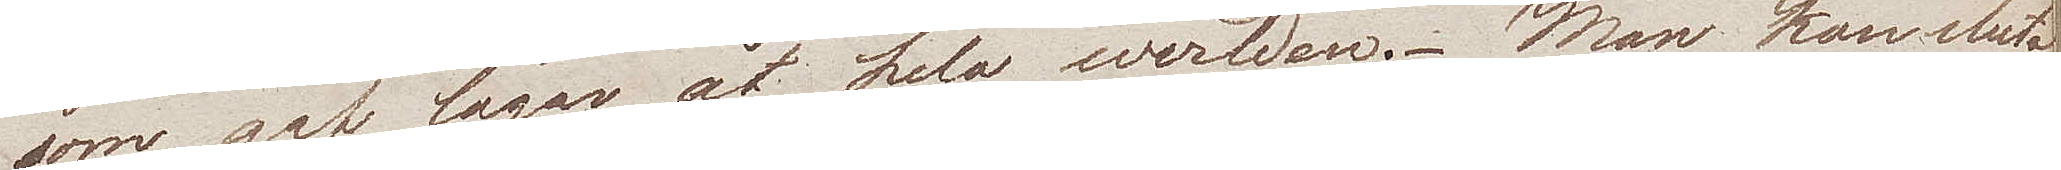som gav lagar åt hela werlden. Man kan sluta
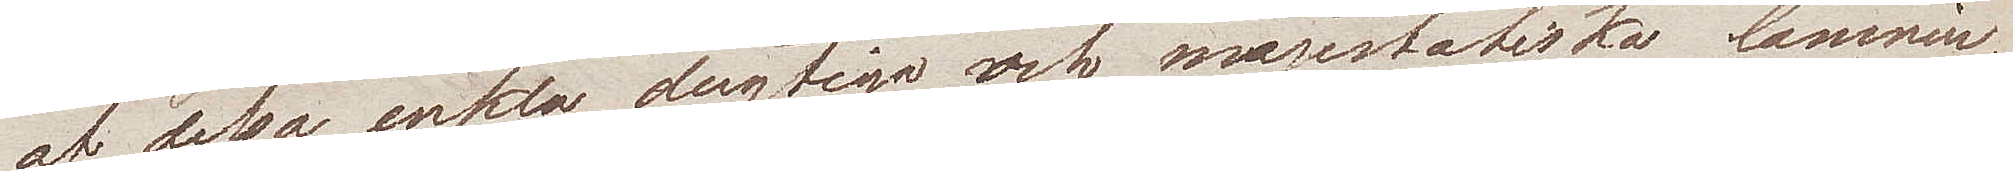af dessa enkla, dugtiga, och majestätiska lämnin¬
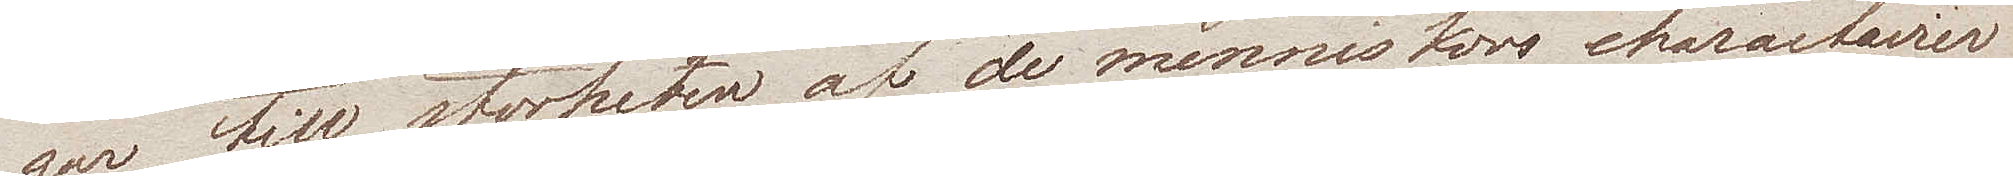gar till storheten af de menniskors charactairer
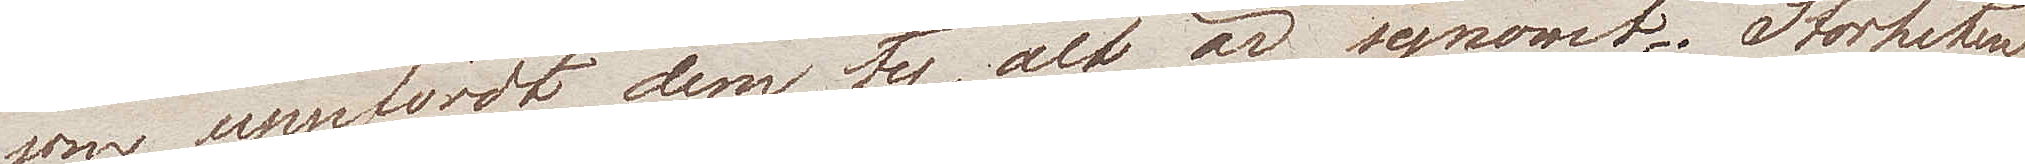som uppfördt dem, ty alt är synomt. Storheten
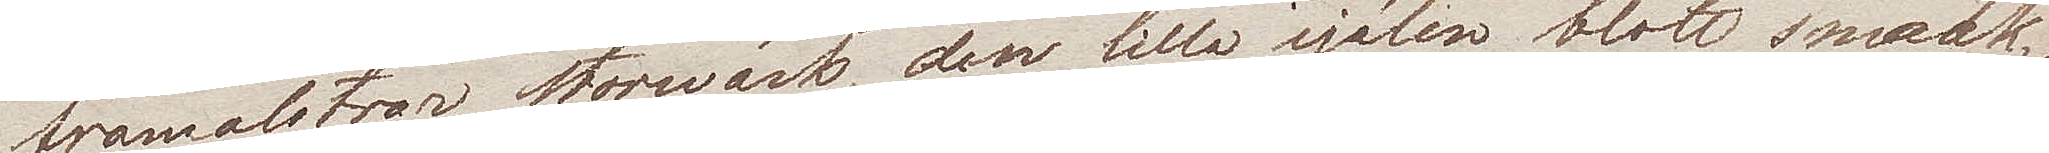framalstrar storwärk, den lilla själen blott småt¬
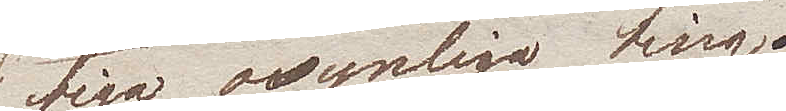tiga, osynliga ting.
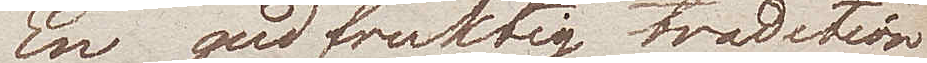En gudfruktig tradition
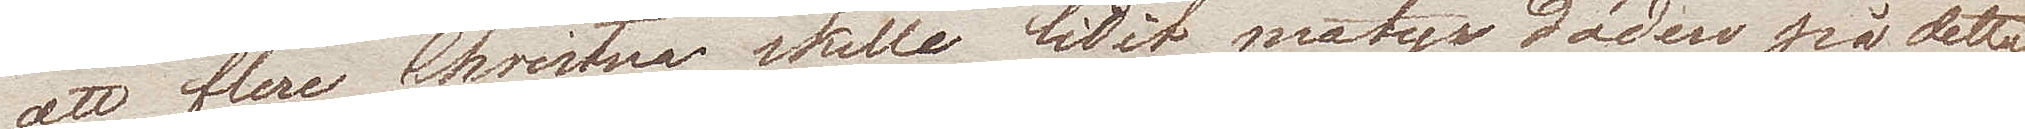att flere Christna skulle lidit martyrdöden på detta
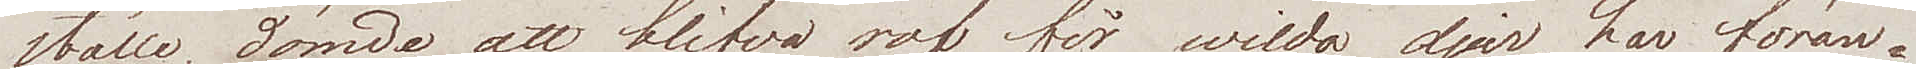ställe, dömde att blifva rof för wilda djur, har föran¬
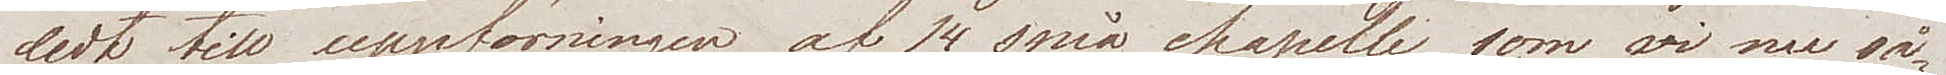ledt till uppförningen af 14 små chapelle som wi nu så¬
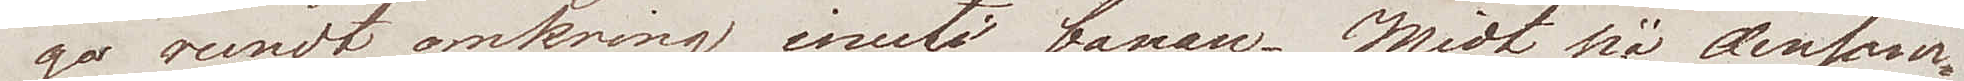go rundt omkring inuti banan. Midt på densam¬
